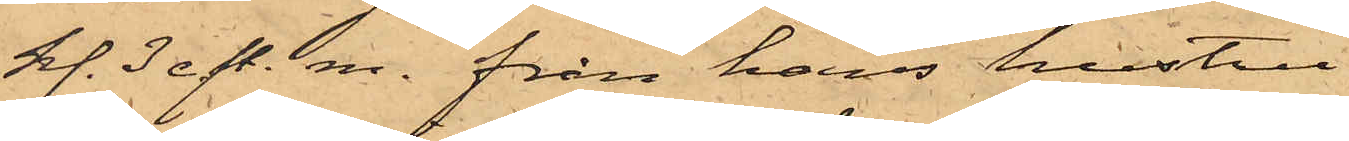kl. 3 eft. m. från hans hustru
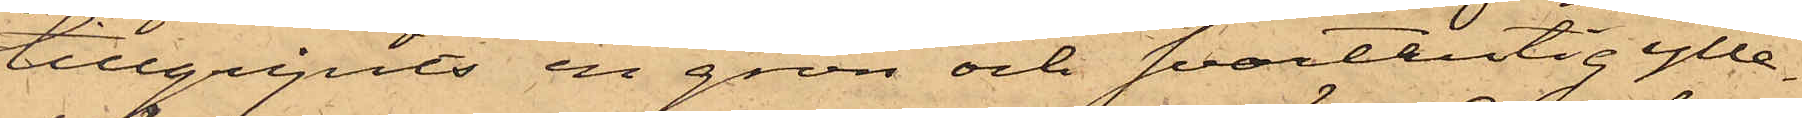tillgripits en grön och svartrutig ylle¬
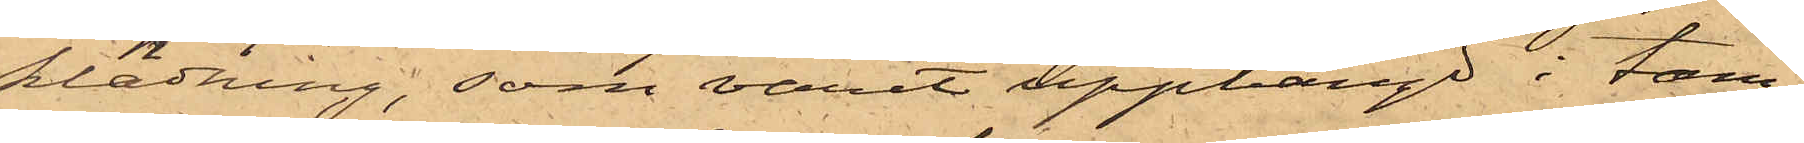klädning, som varit upphängd i tam¬
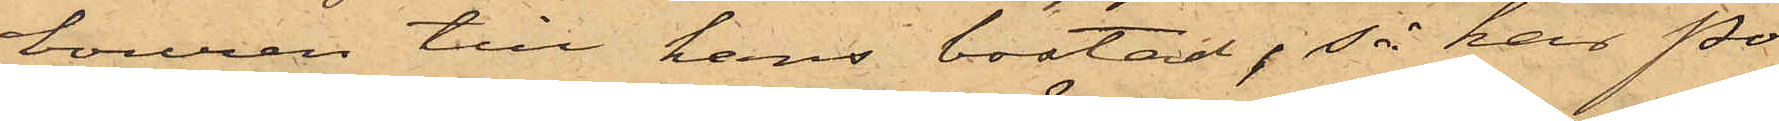bouren till hans bostad; så har Po¬
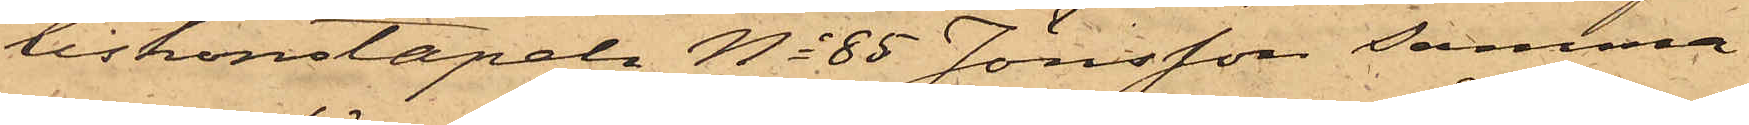liskonstapeln No 85 Jönsson samma
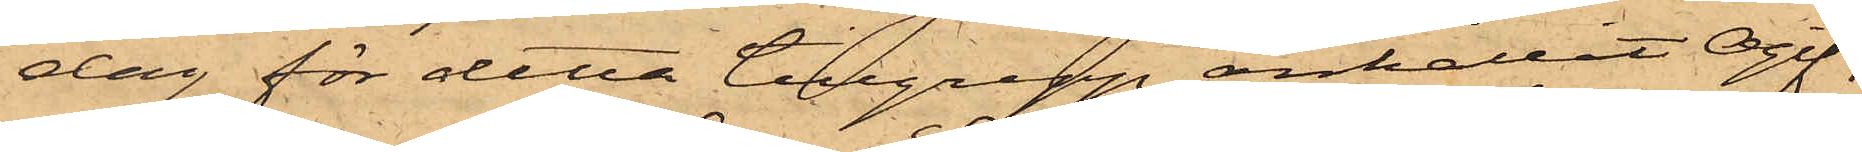dag för detta tillgrepp anhållit Ogif¬
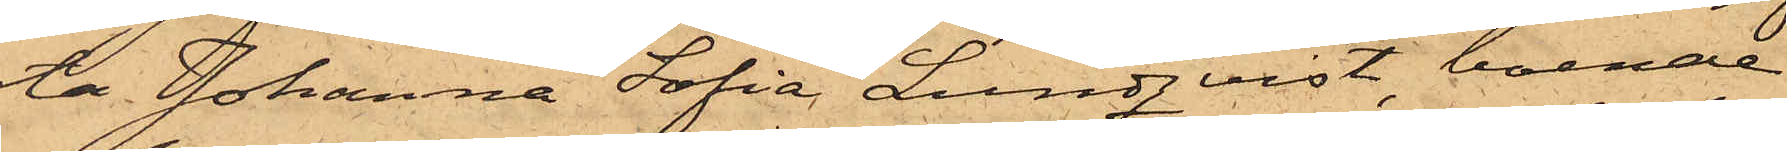ta Johanna Sofia Lundqvist, boende
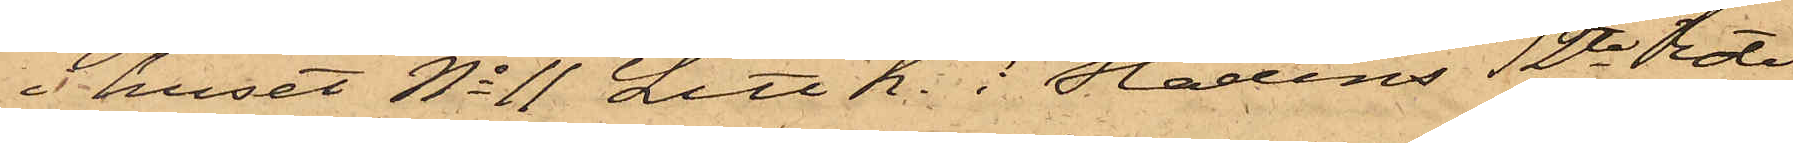i huset No 11 Litt K. i Stadens 12te Rote,
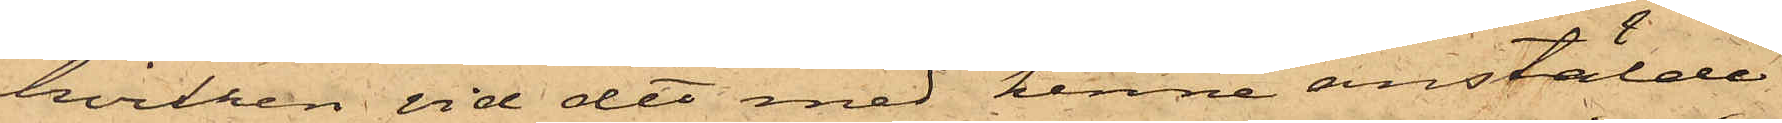hvilken vid det med henne anstälde
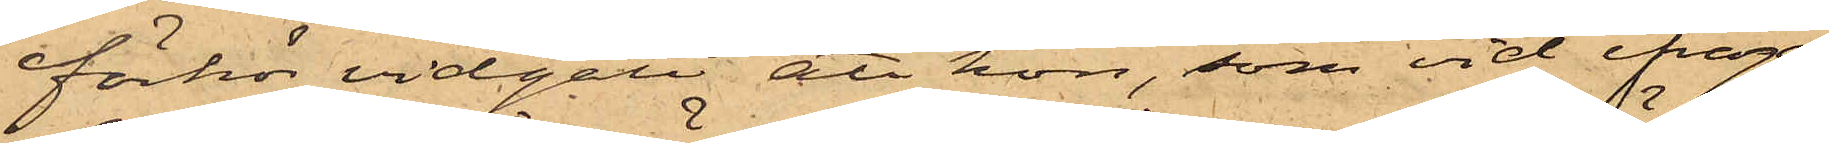förhör vidgått att hon, som vid ifråga¬
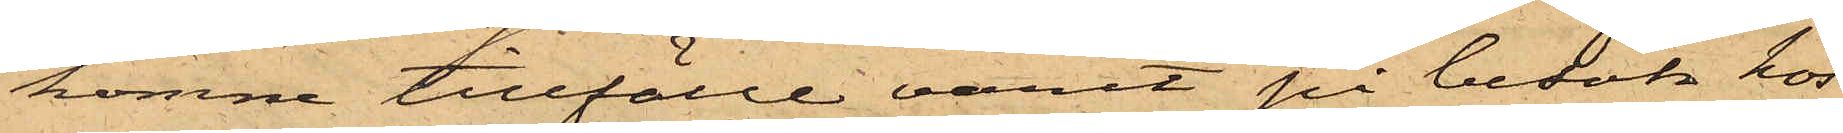komne tillfälle varit på besök hos
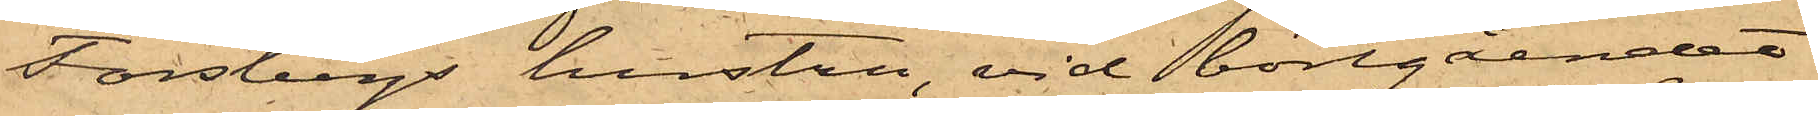Forsbergs hustru, vid bortgåendet
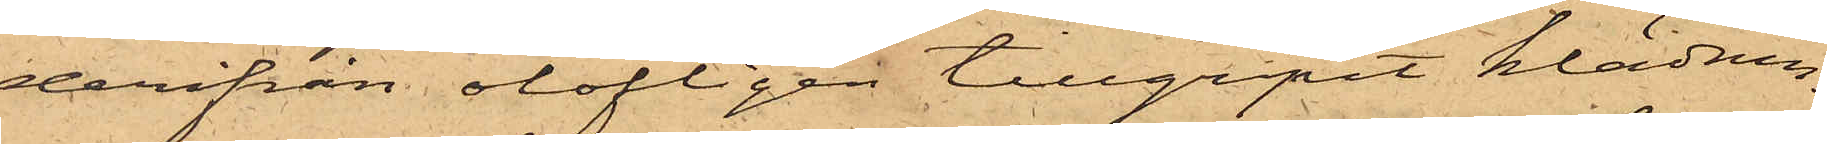derifrån olofligen tillgripit klädnin¬
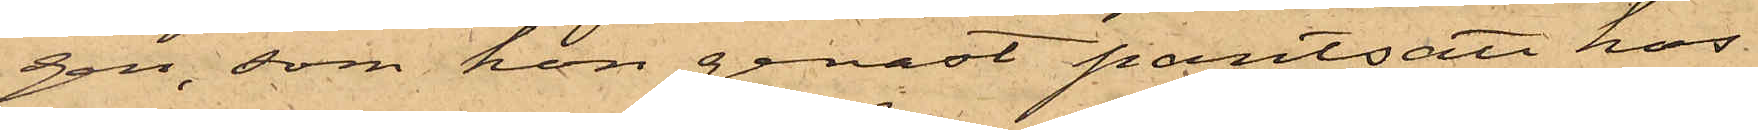gen, som hon genast pantsatt hos
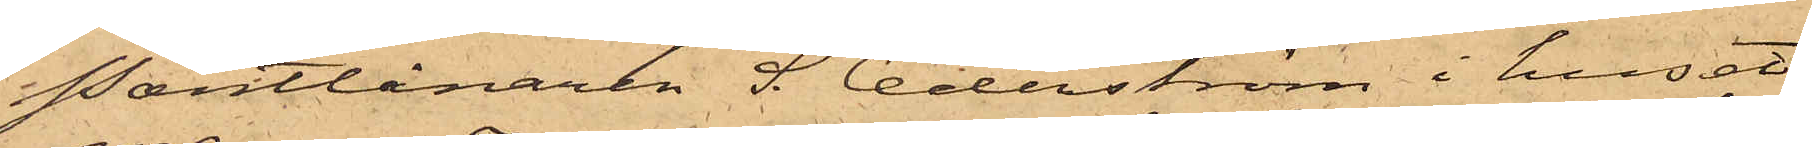Pantlånaren S. Cederström i huset
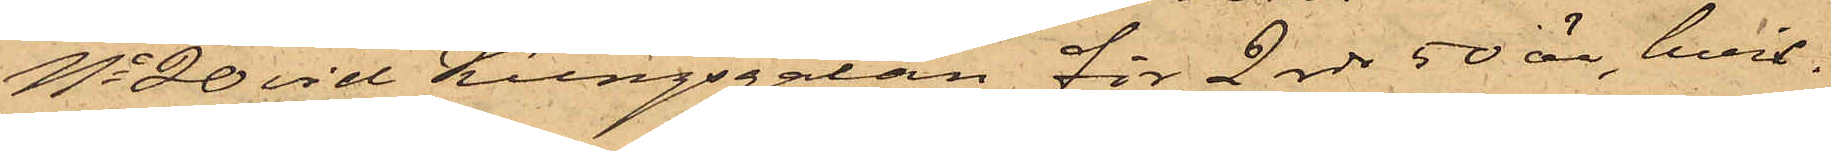No 20 vid Kungsgatan för 2 rdr 50 öre, hvil¬
